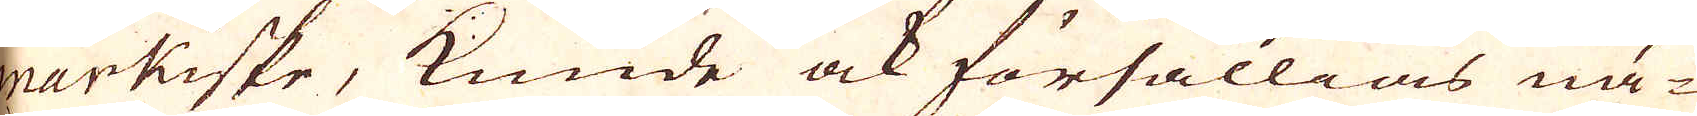markiske, kunde ock försällias nä-
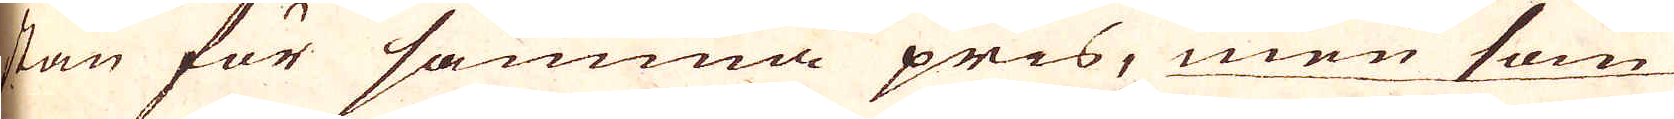stan för samma pris, men som
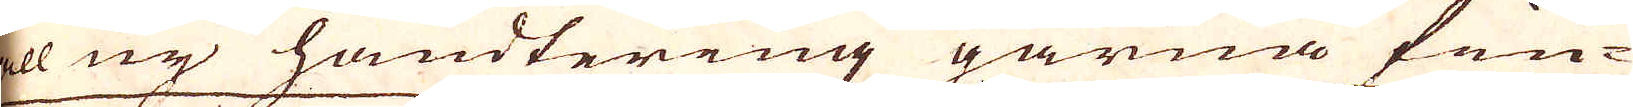all ny handtering gärna fin-
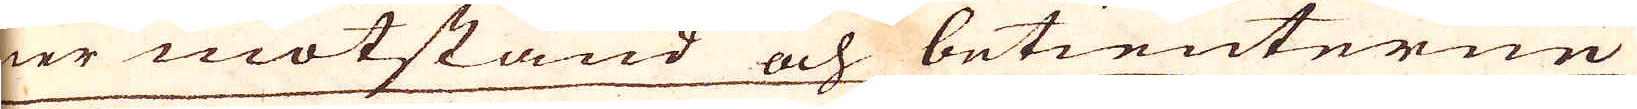ner motstånd och betienterne
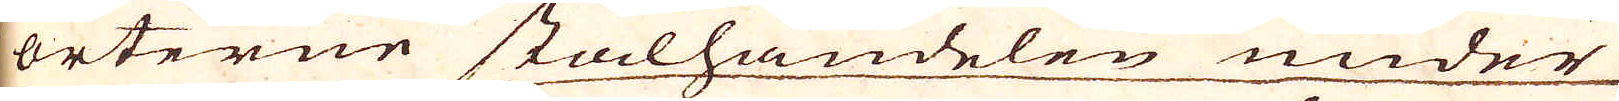i orterne stålhandelen under
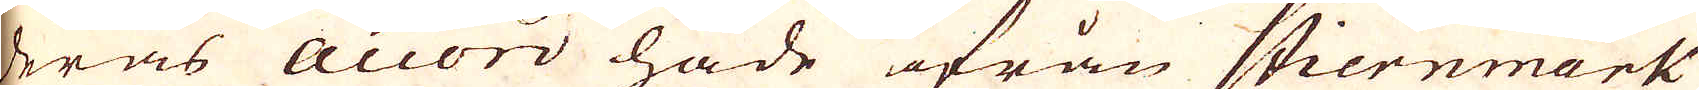deras Accord hade ifrån Stiernmark,
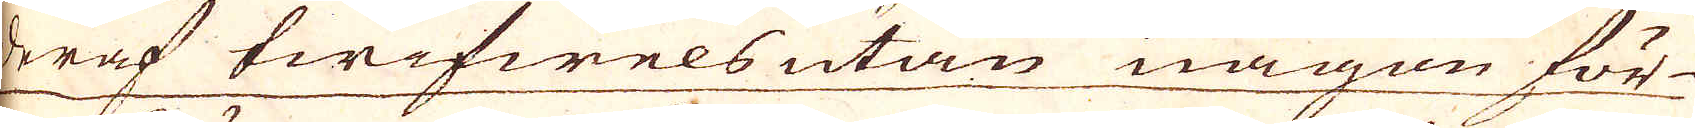deraf twifwels utan någon för-
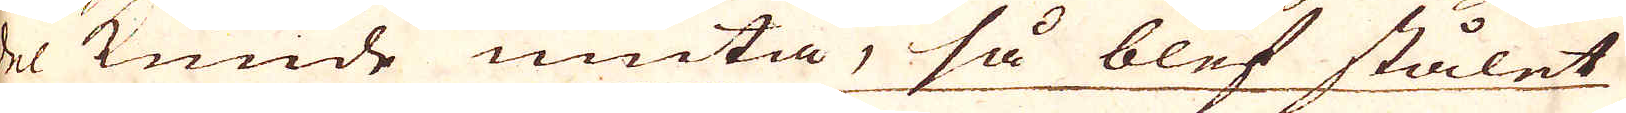del kunde niuta, så blef stålet
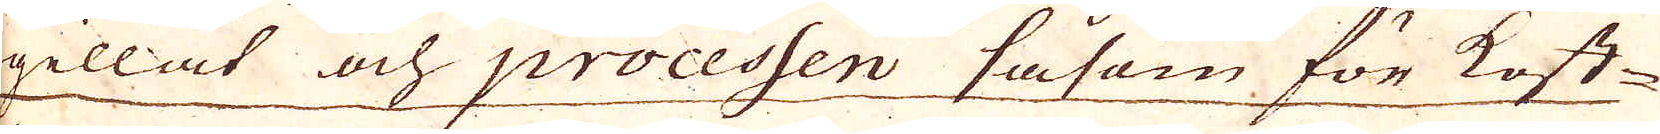gillat och processen såsom för kost-
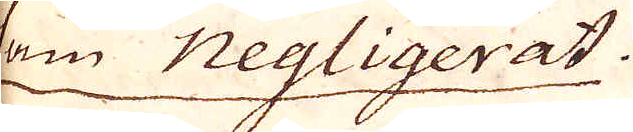sam negligerat.
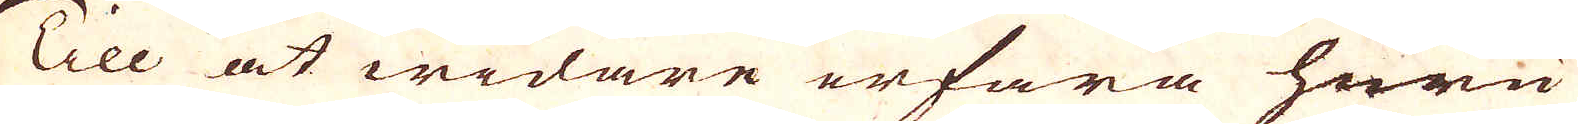Till at widare erfara huru
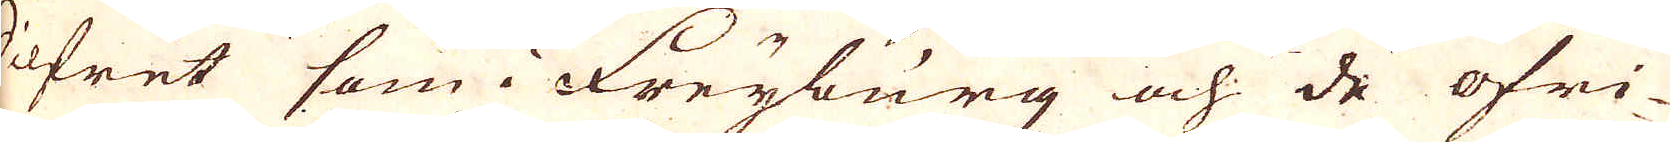Silfret som i Freyburg och de öfri-
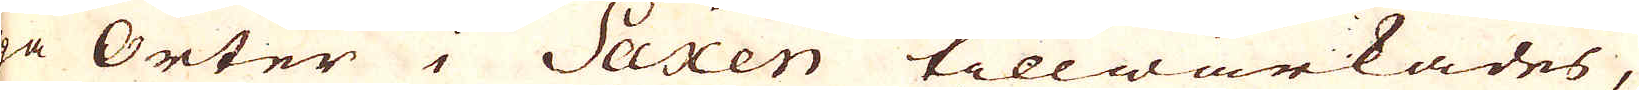a Orter i Saxen tillwärkades,
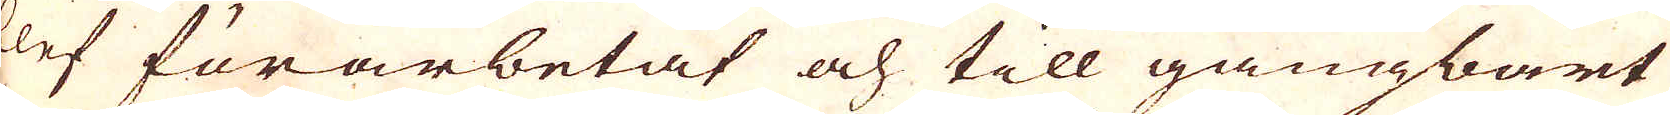blef förarbetat och till gångbart
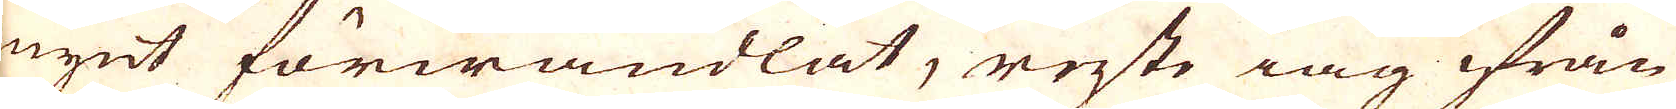mynt förwandlat, reste iag ifrån
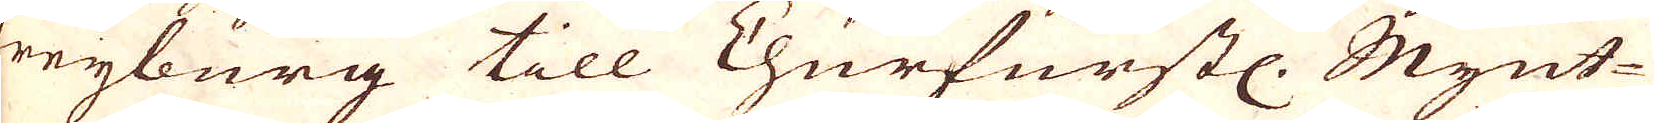Freyburg till Churfurstl. Mynt-
